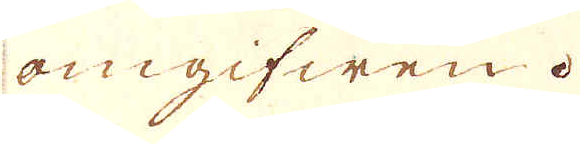omgifwen.
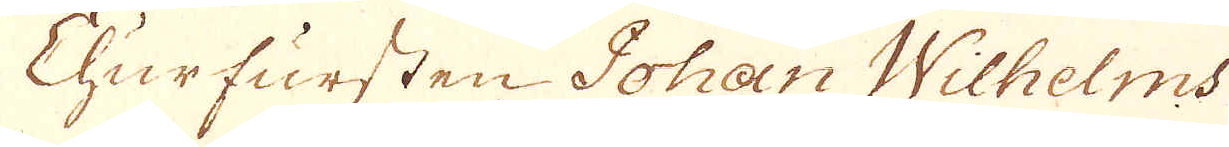Churfursten Johan Wilhelms
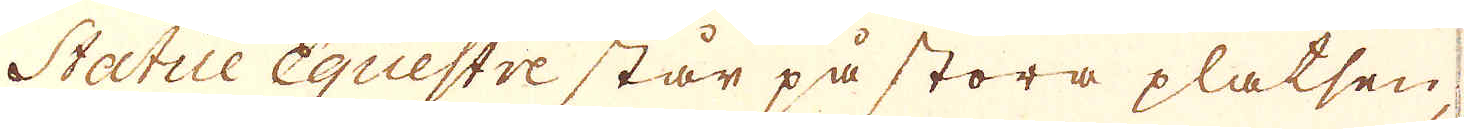Statue Equestre står på stora platsen,
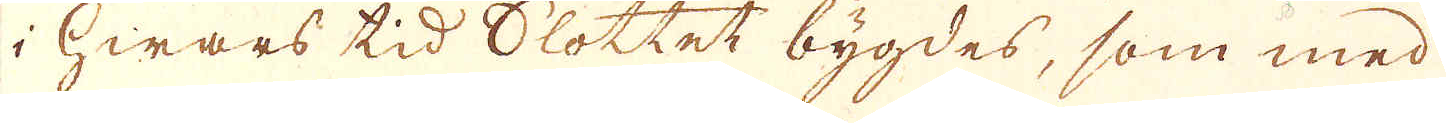i hwars tid Slottet bygdes, som med
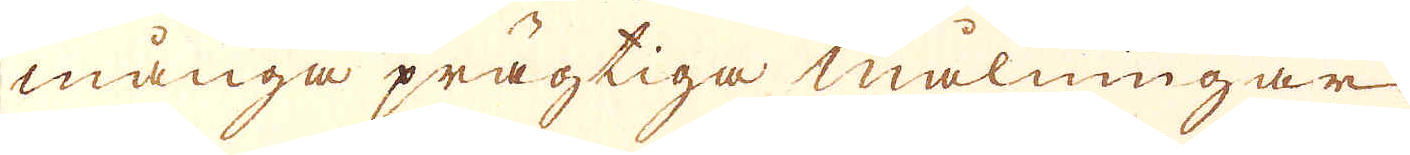många prägtiga målningar
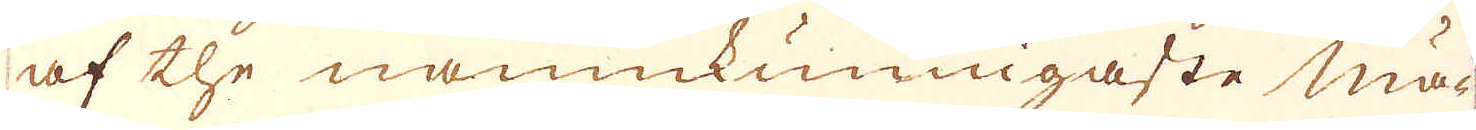af the namnkunnigaste mä-
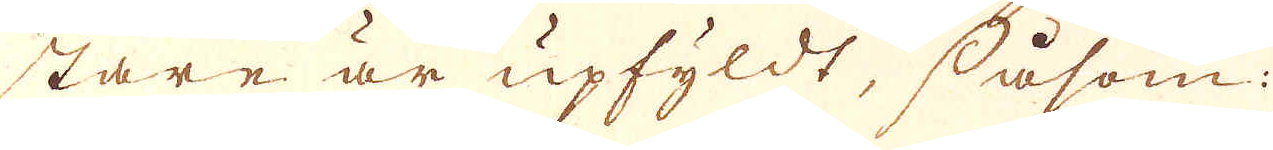stare är upfyldt, såsom:
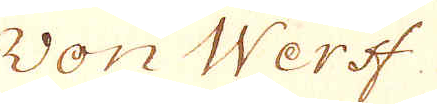von Werff:
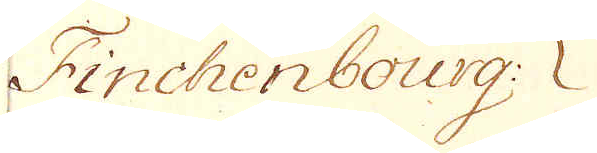Finchenbourg:
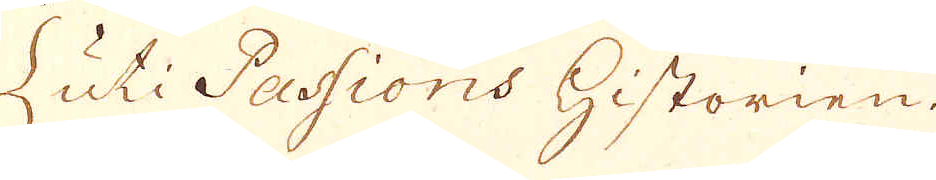{ uti Passions historien.
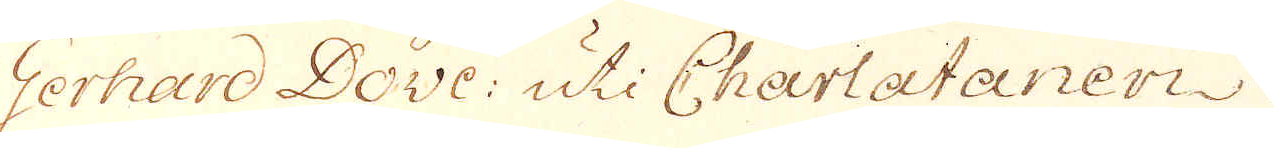Gerhard Dove: uti Charlataneri.
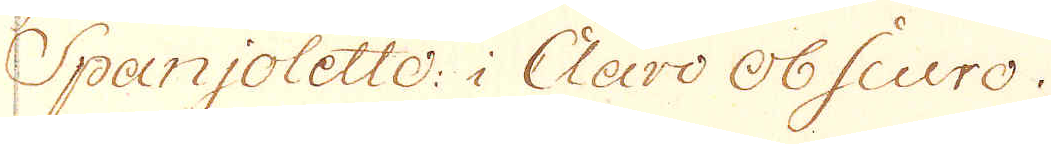Spanjoletto: i Claro obscuro.
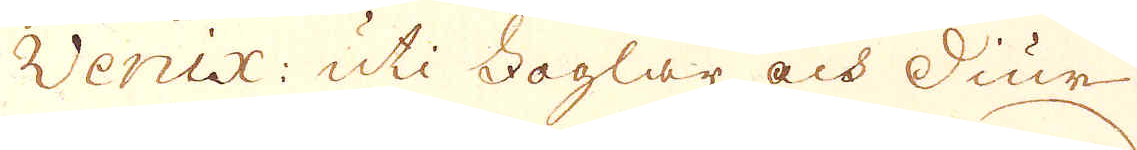Venix: uti foglar och diur.
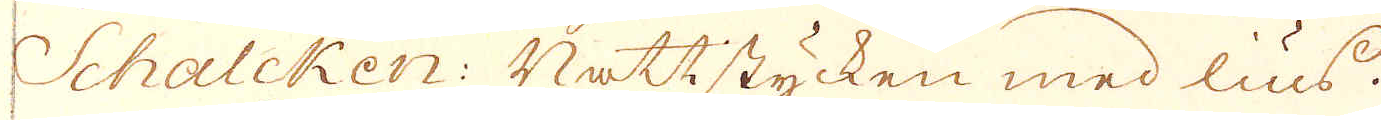Schalcken: Nattstycken med lius.
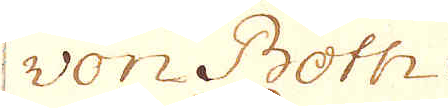von Both:
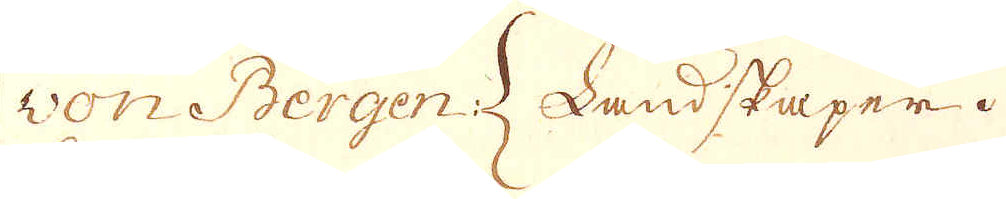von Bergen: { Landskaper
